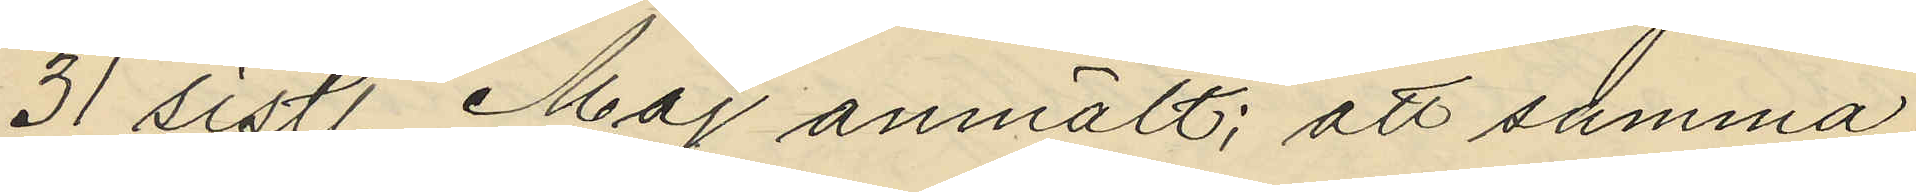31 sistl. Maj anmält; att samma
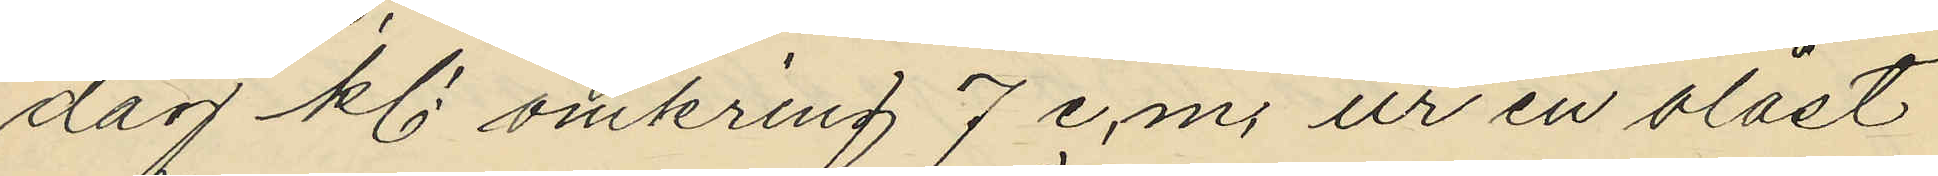dag kl. omkring 7 e.m. ur en olåst
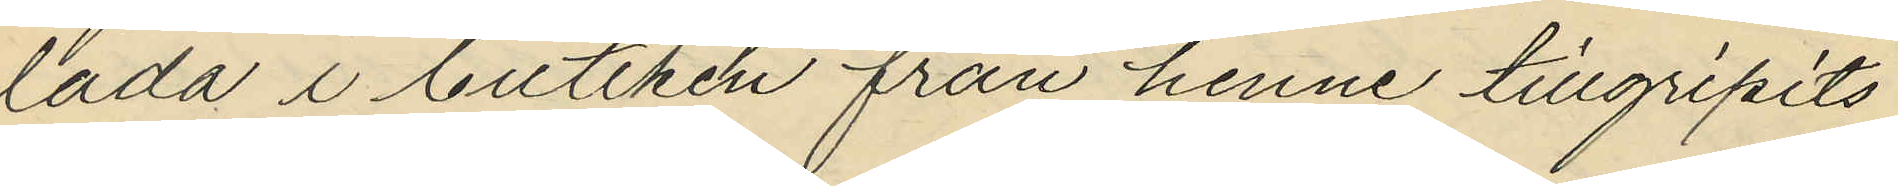låda i butiken från henne tillgripits
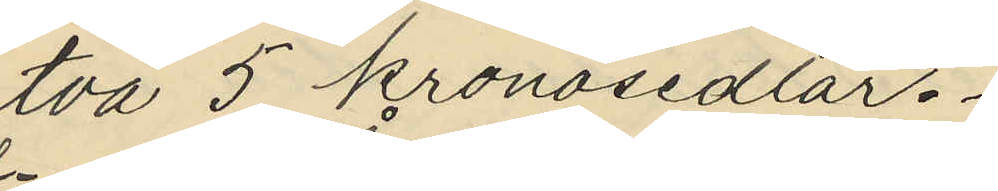två 5 kronosedlar.
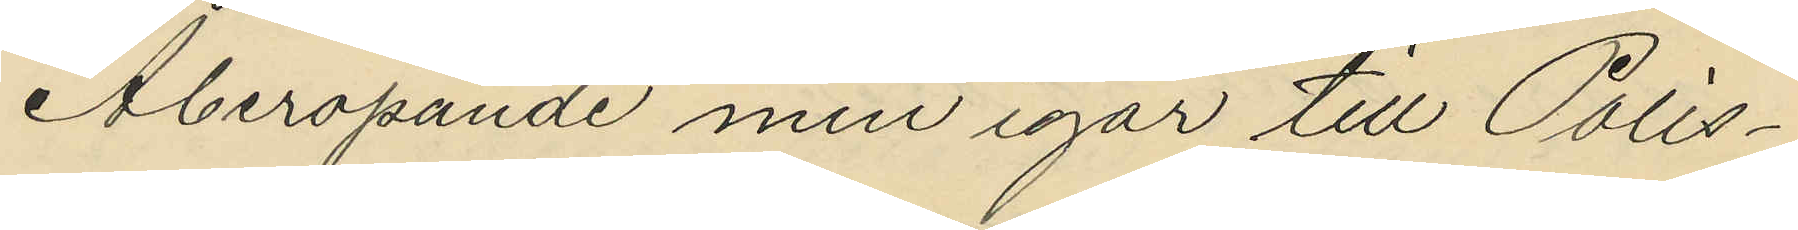Åberopande min igår till Polis¬
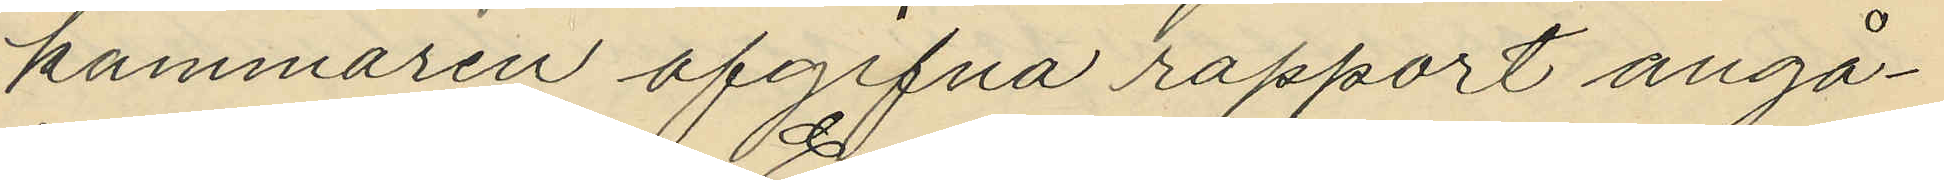kammaren afgifna rapport angå¬
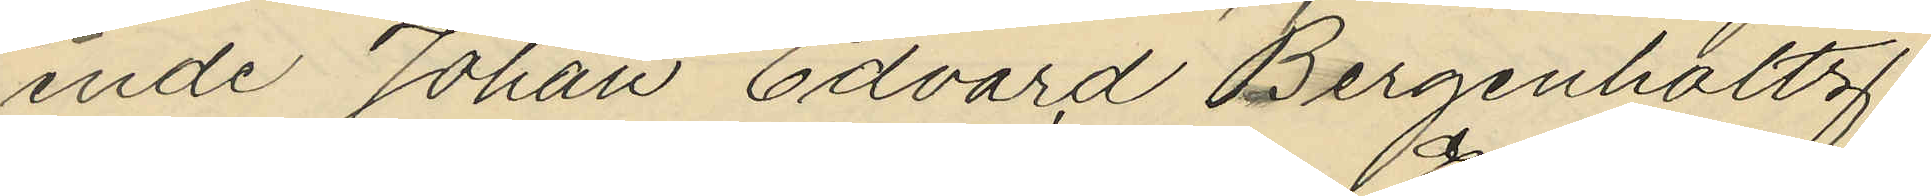ende Johan Edvard Bergenholtz
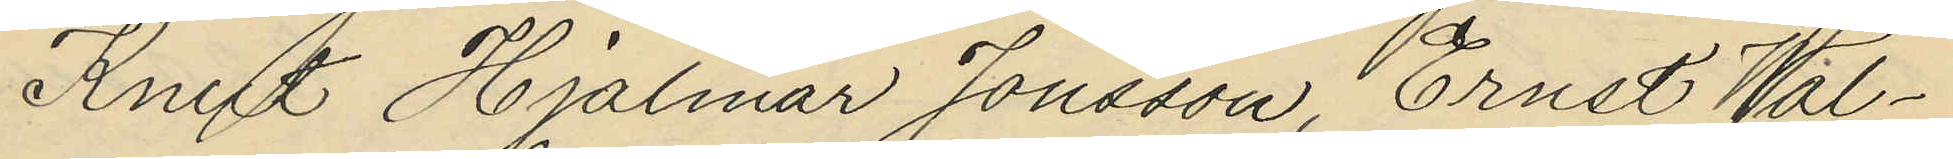Knut Hjalmar Jonsson, Ernst Wal¬
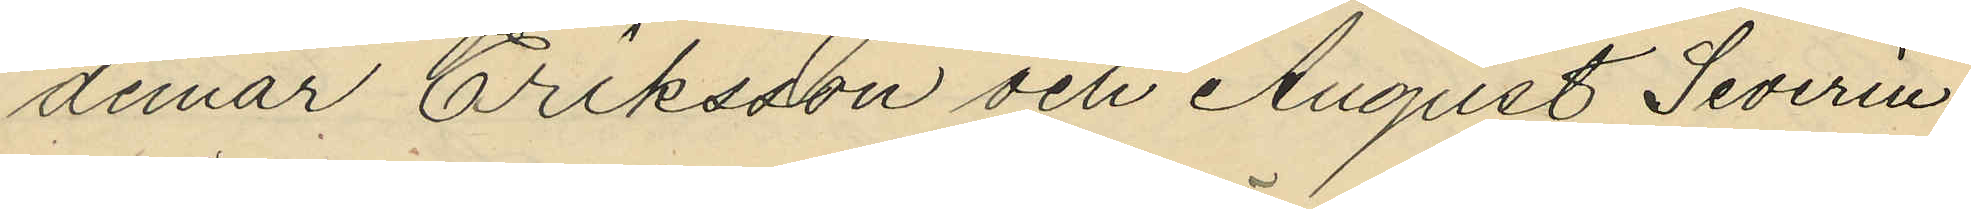demar Eriksson och August Severin
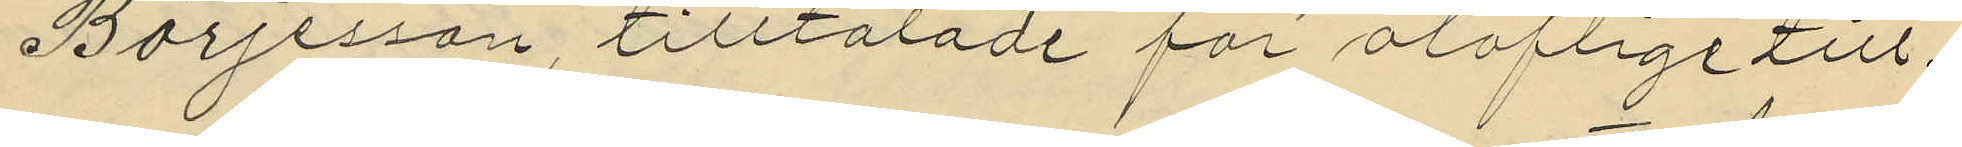Börjesson, tilltalade för oloflige till¬
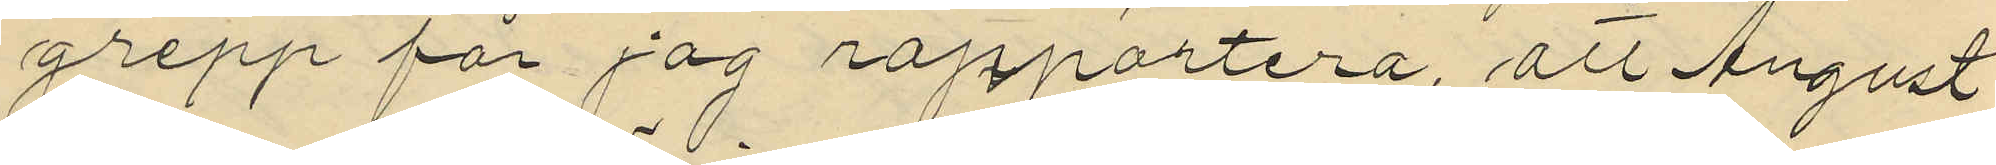grepp får jag rapportera, att August
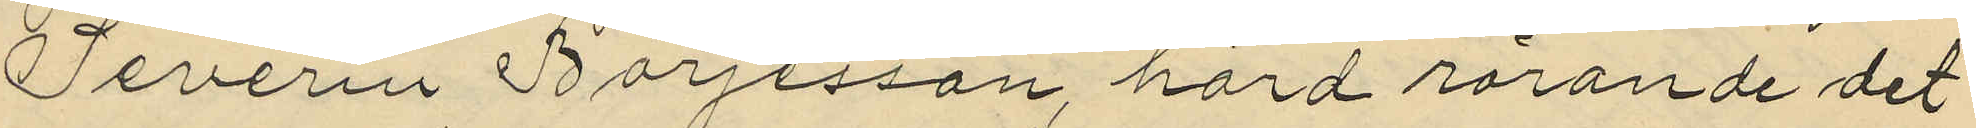Severin Börjesson hörd rörande det
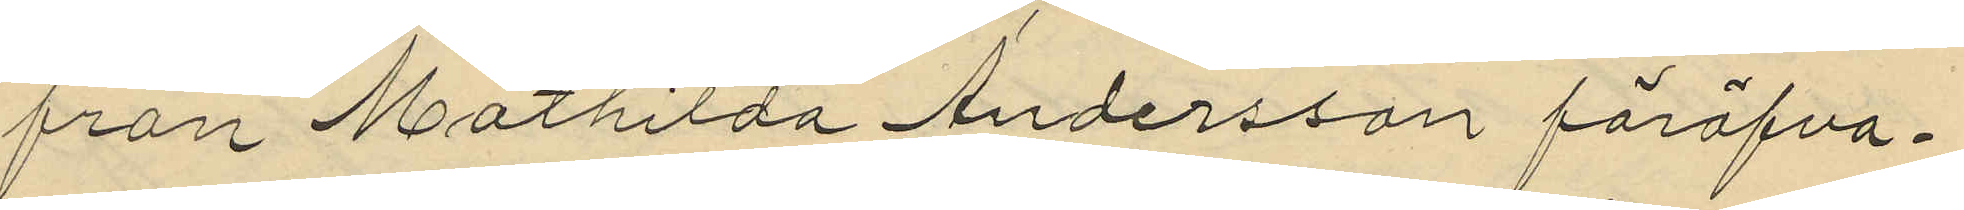från Mathilda Andersson föröfva¬
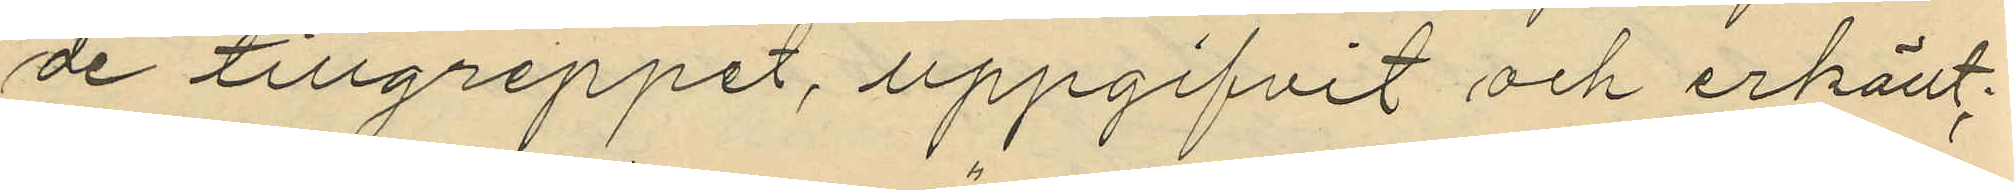de tillgreppet, uppgifvit och erkänt:
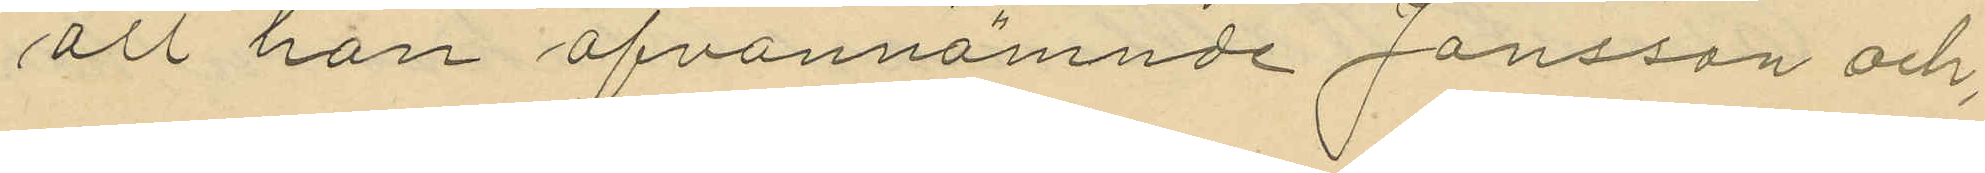att han ofvannämnde Jansson och,
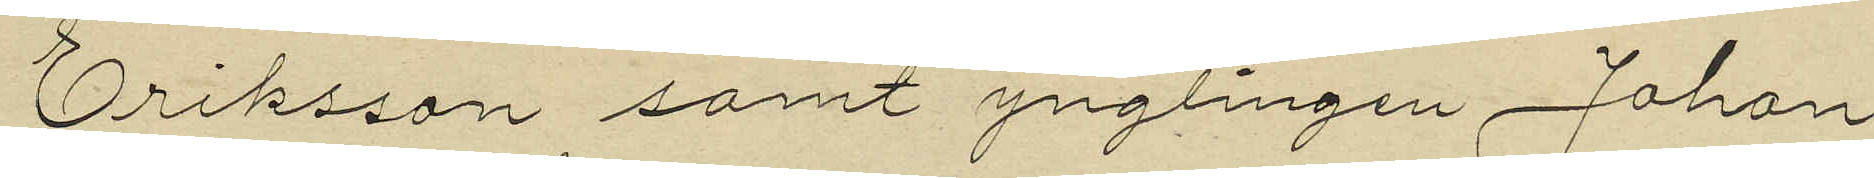Eriksson samt ynglingen Johan
